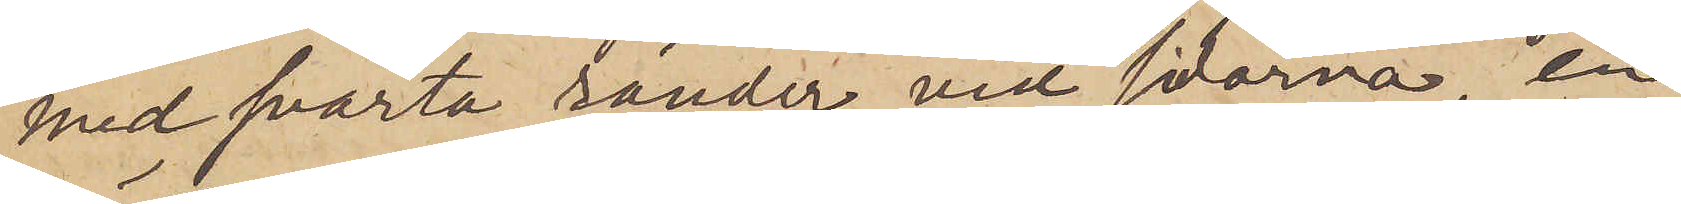med svarta ränder vid sidorna, en
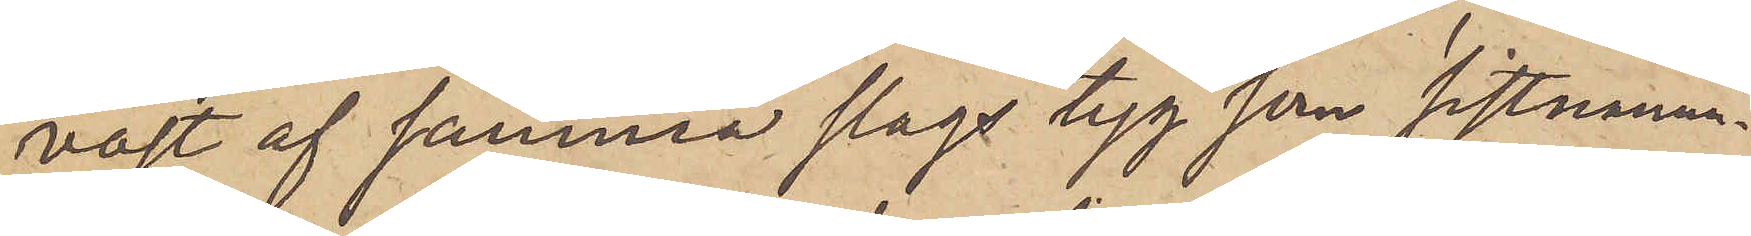väst af samma slags tyg som sistnämn¬
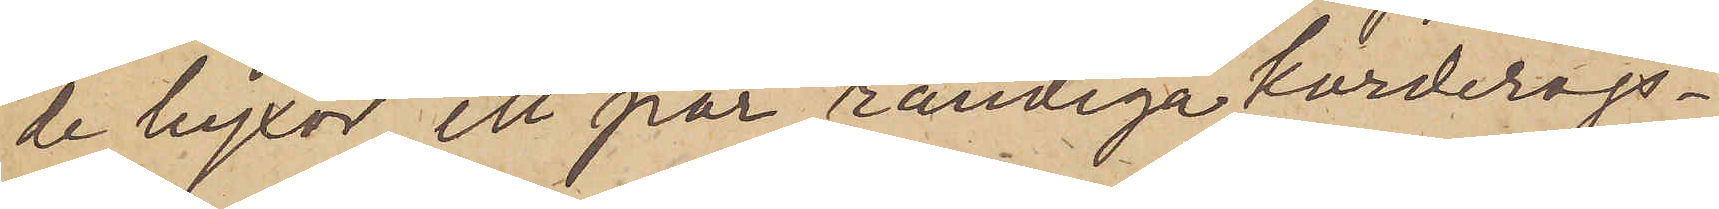de byxor, ett par randiga korderojs¬
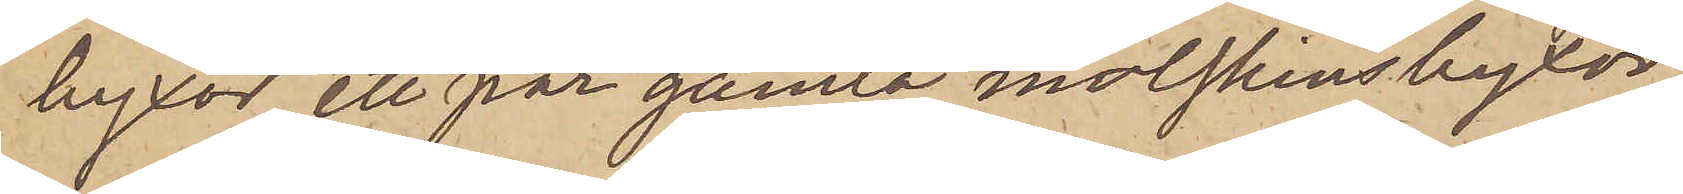byxor, ett par gamla molskinsbyxor
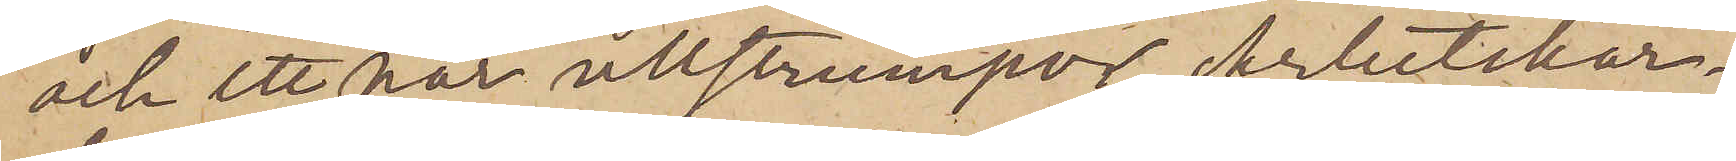och ett par ullstrumpor, Arbetskar¬
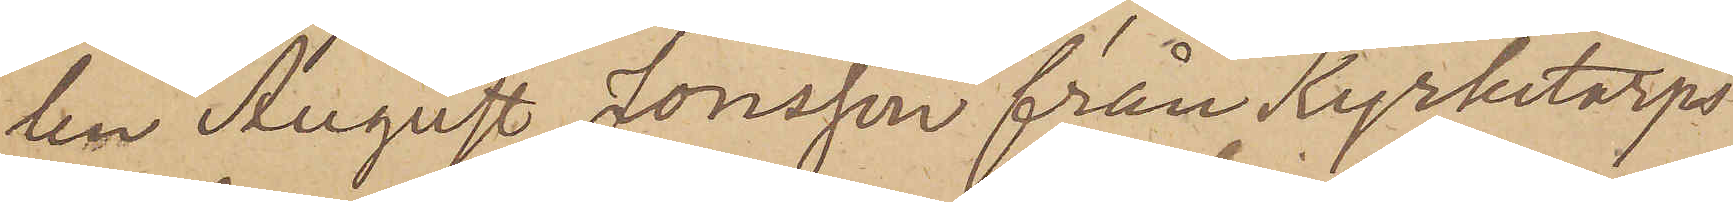len August Jonsson från Kyrketorps
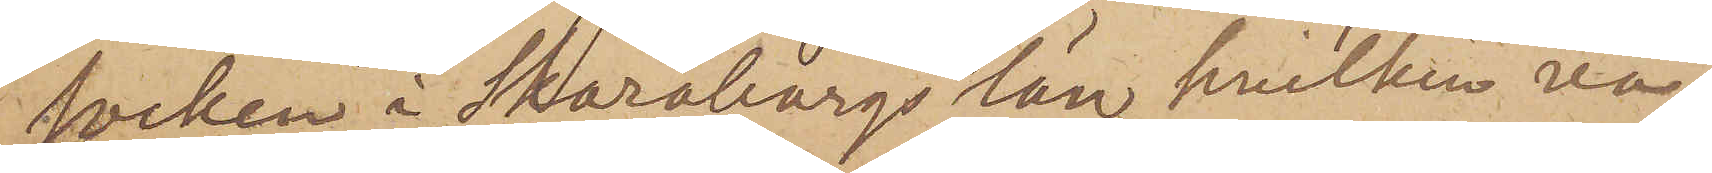socken i Skaraborgs län, hvilken va¬
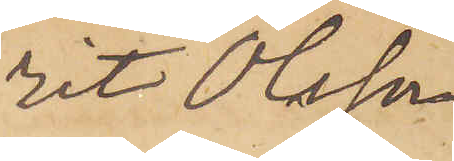rit Olsson
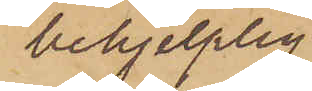behjelplig
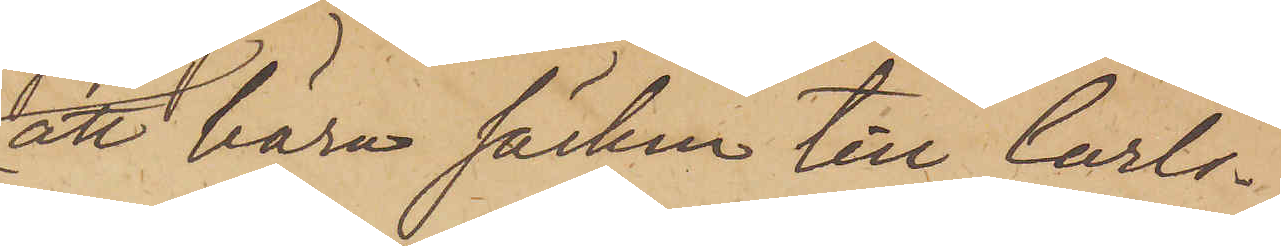att bära säcken till Carls¬
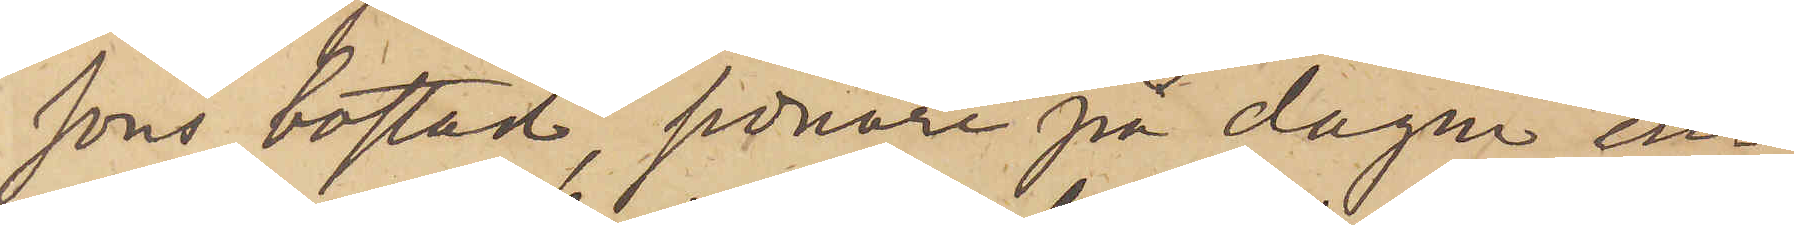sons bostad, sednare på dagen in¬
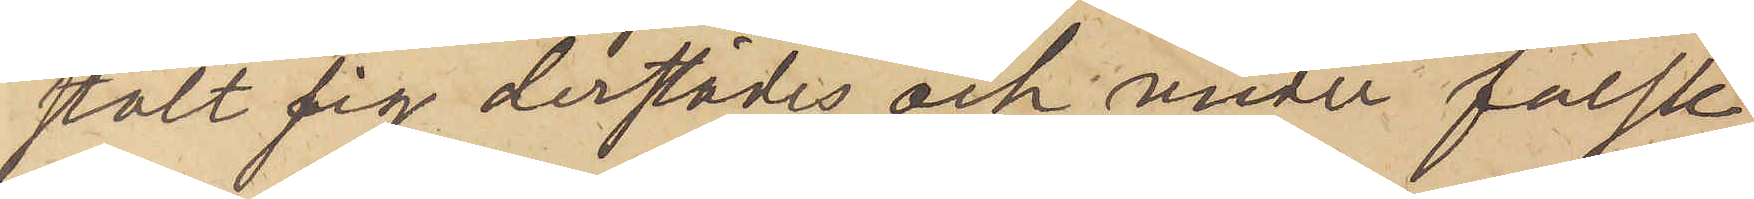stält sig derstädes och under falsk
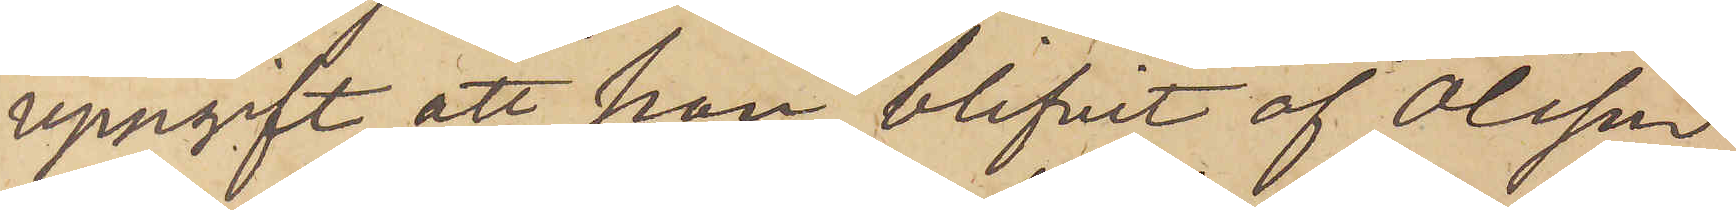uppgift att han blifvit af Olsson
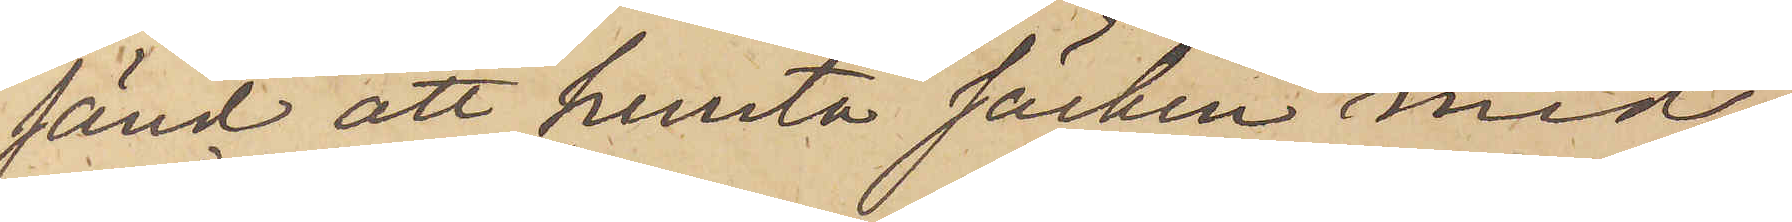sänd att hemta säcken med
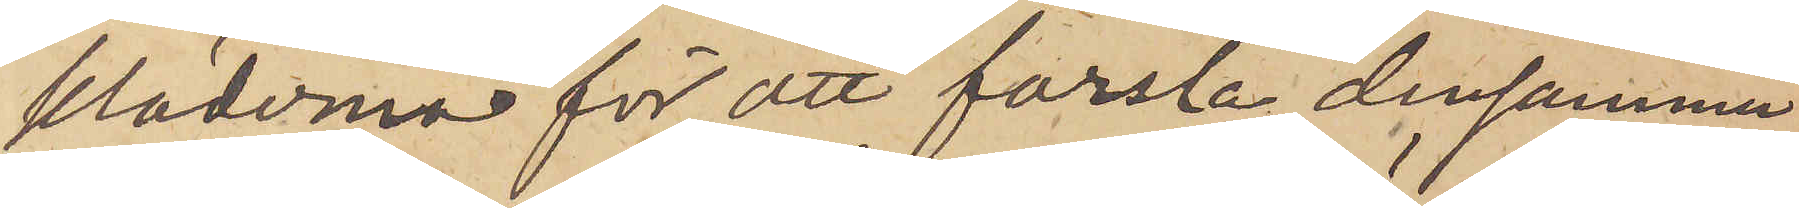kläderna för att forsla densamma
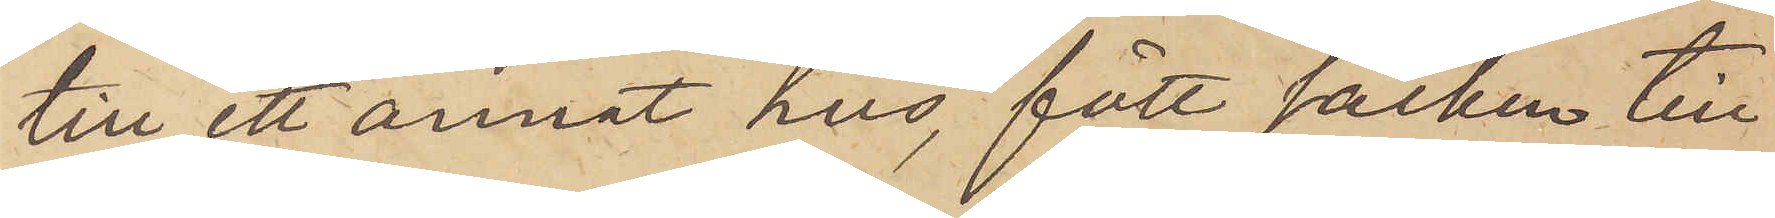till ett annat hus, fått säcken till
